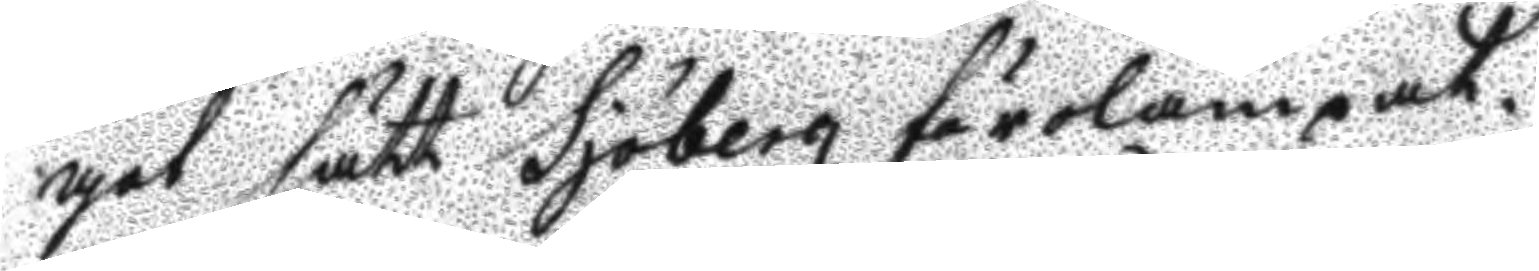got sätt Sjöberg förolämpat.
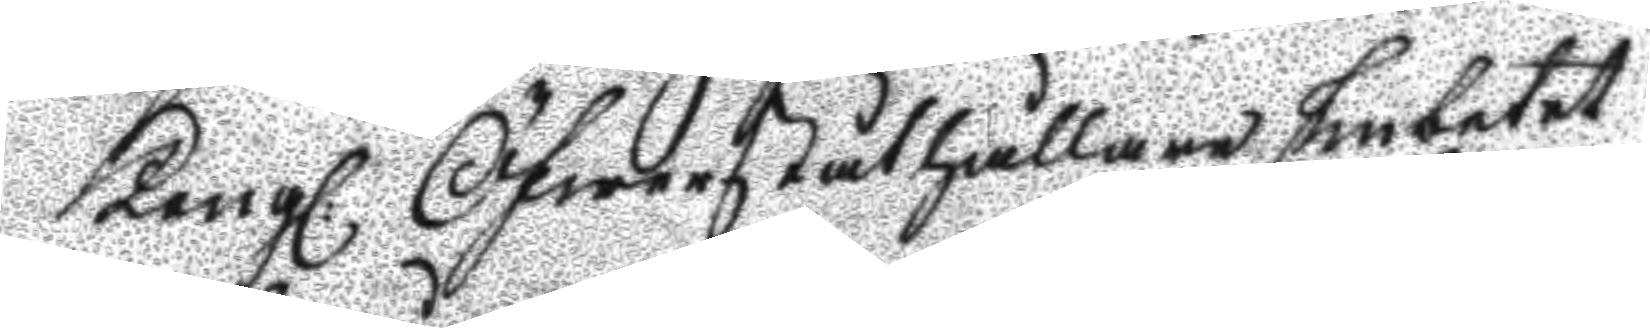Kongl. Öfwerståthållare Embetet
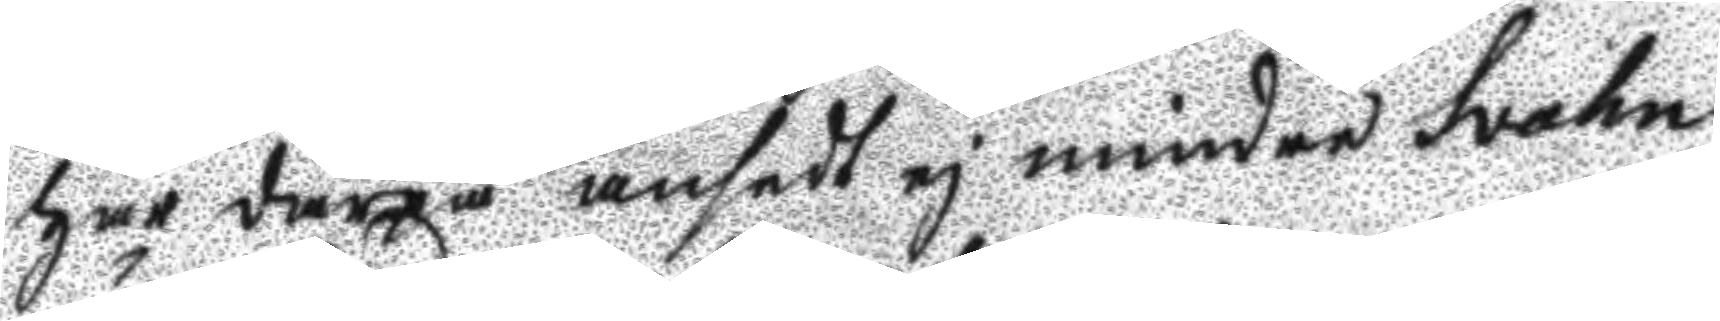har därpå ansedt ej mindre Svahn
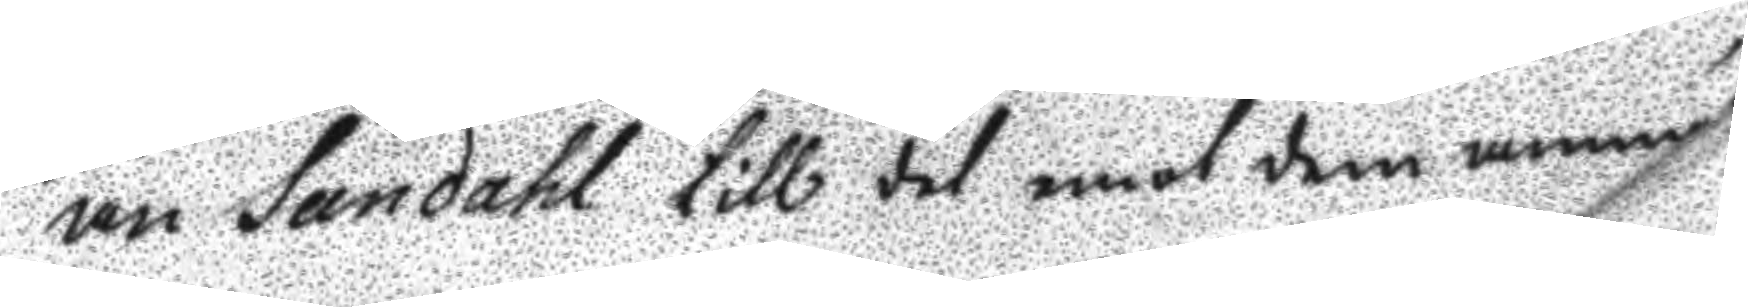än Sandahl till det emot dem anm 
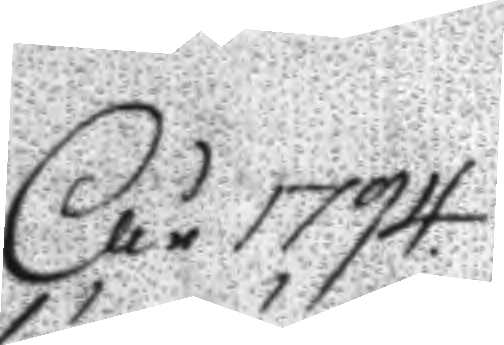År 1794
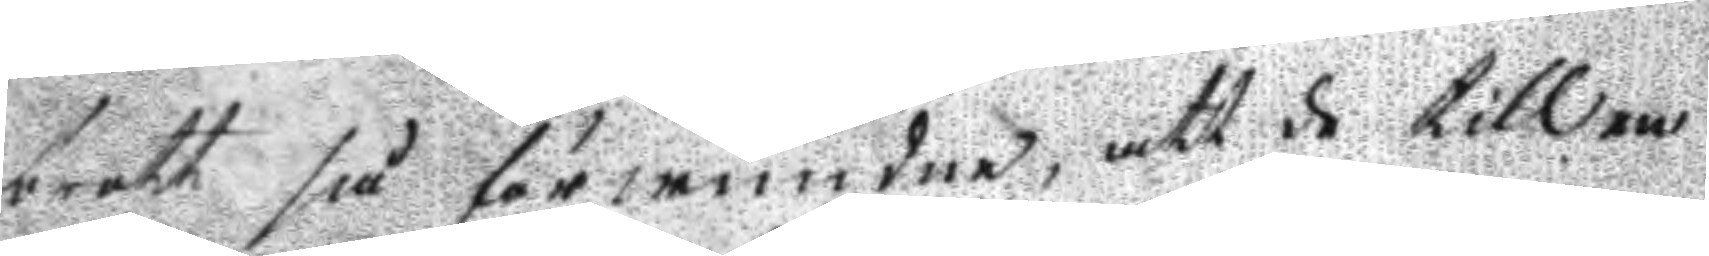brott så förwundne, att de till en
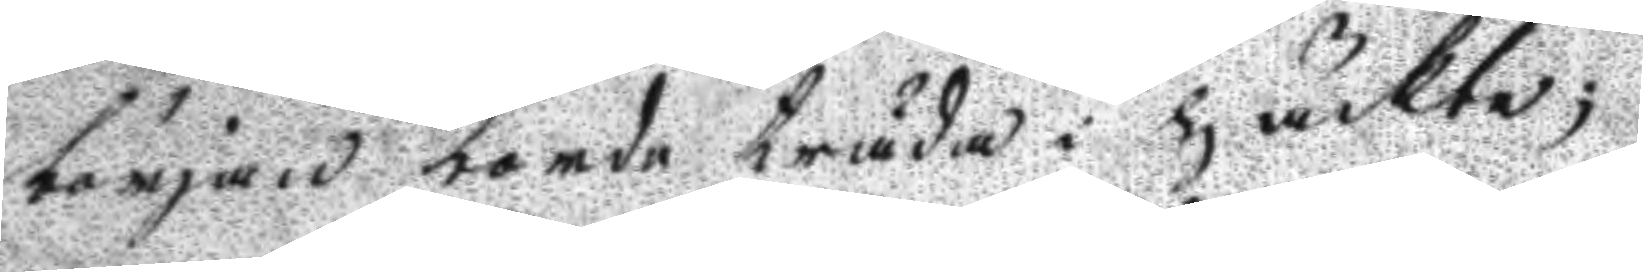början borde träda i häckte;
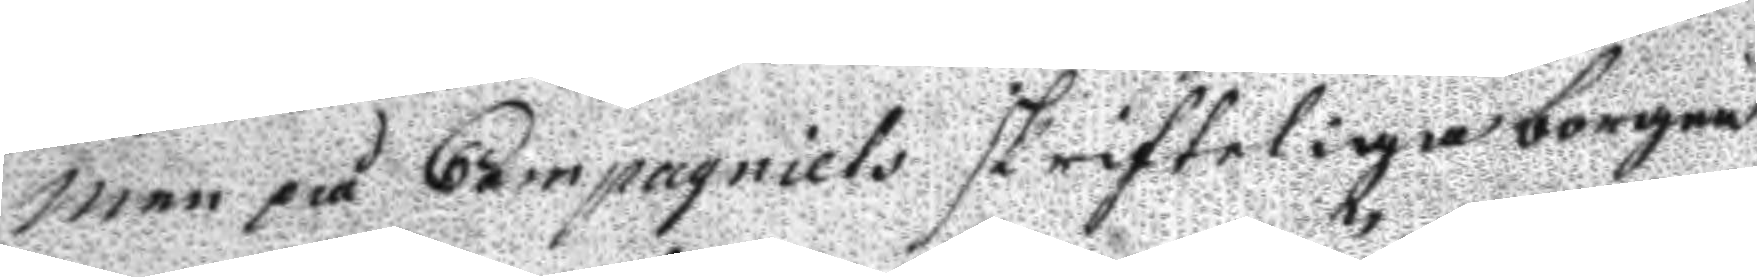men på Companiets skrifteliga borgen
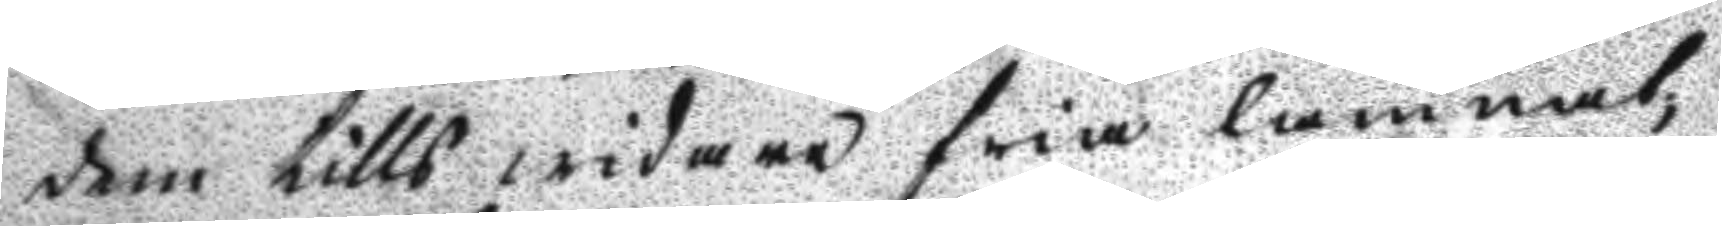dem tills widare fria lämnat;
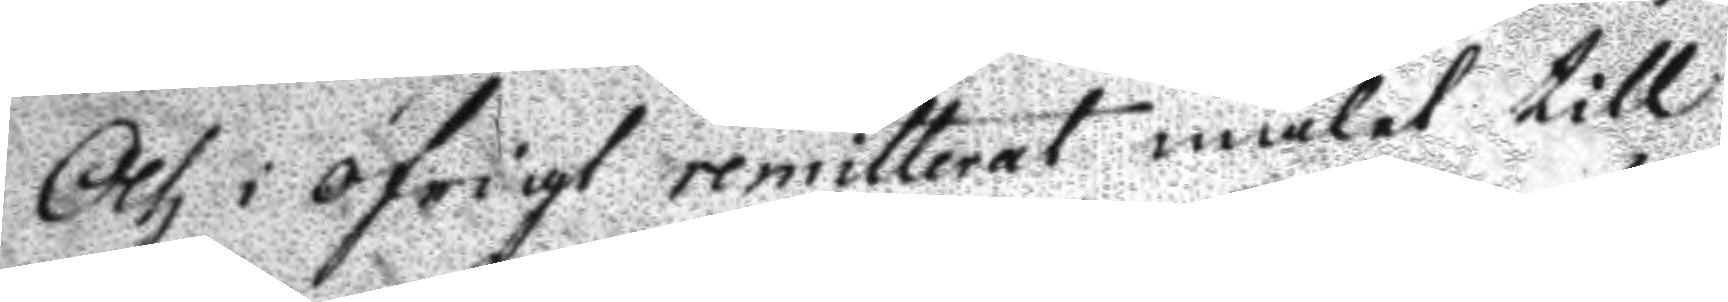Och i öfrigt remitterat målet till
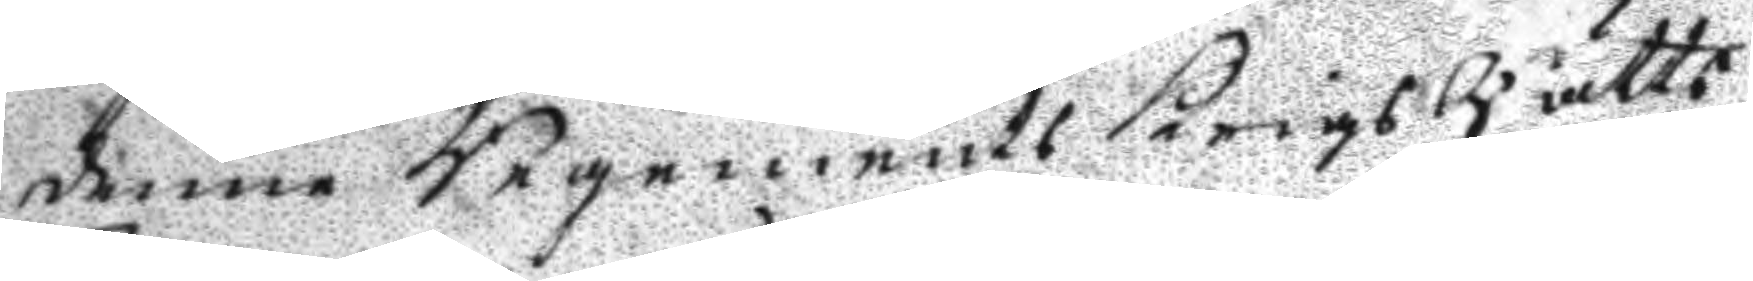denne Regements KrigsRätts
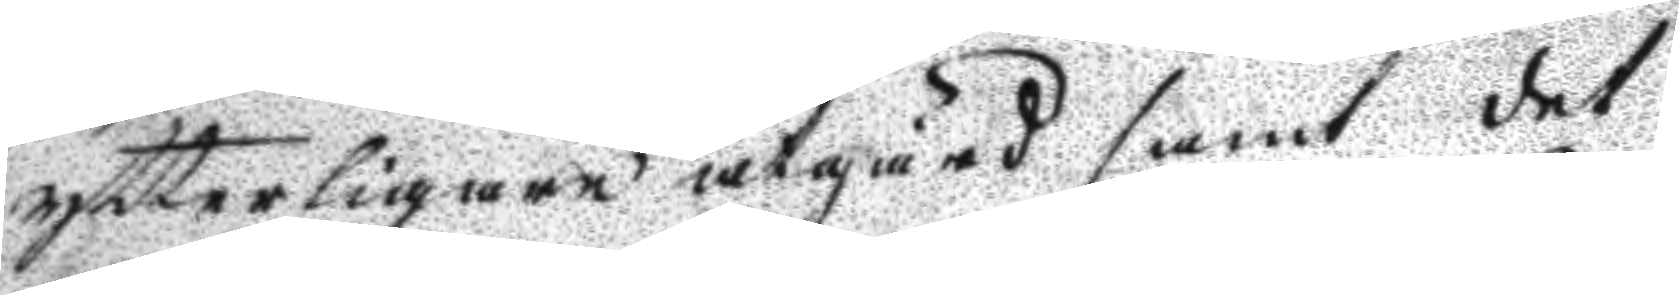ytterligare åtgärd samt det
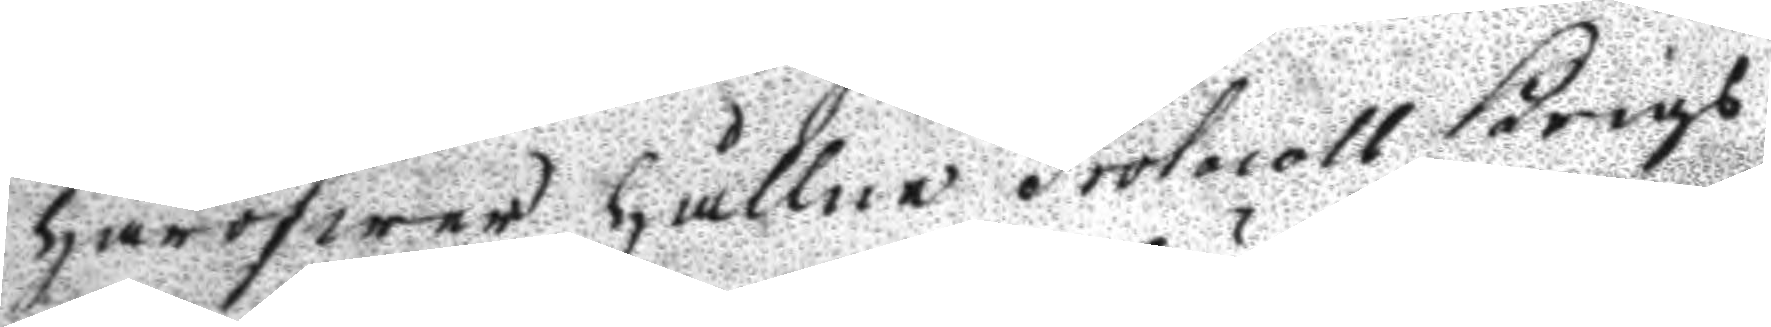häröfwer hållne Protocoll Krigs¬
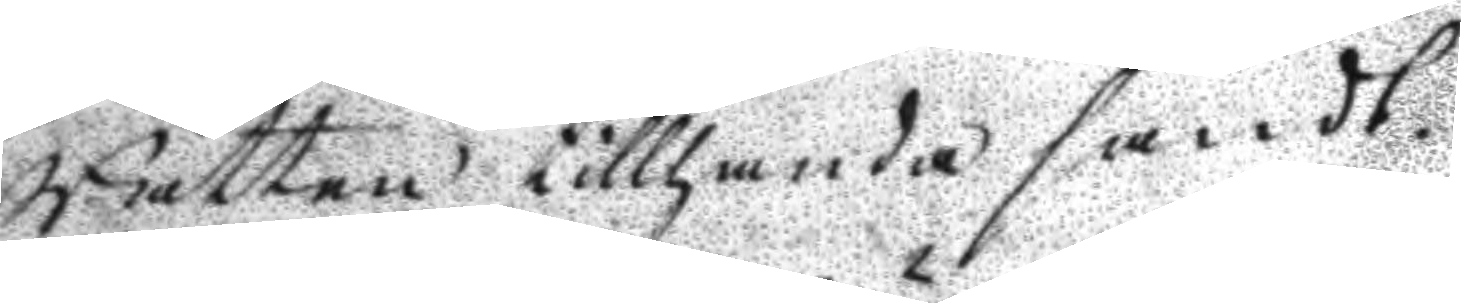Rätten tillhanda sändt.
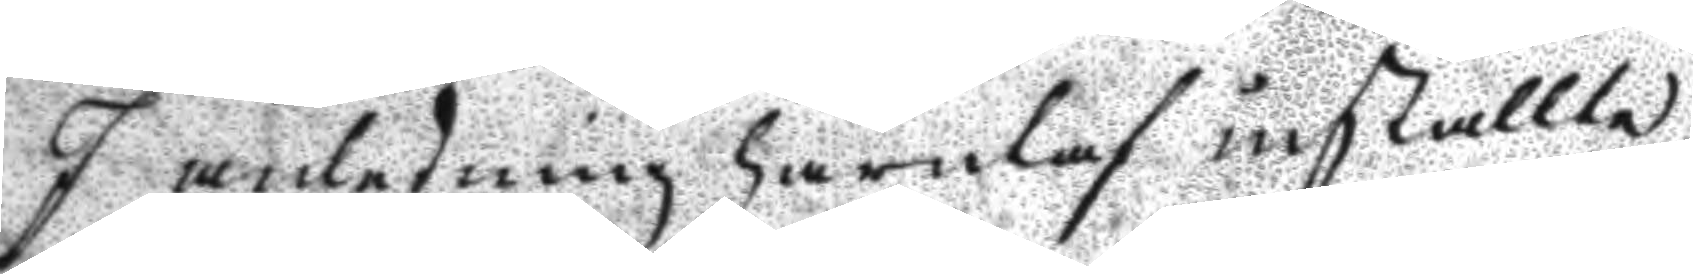I anledning härutaf inställte
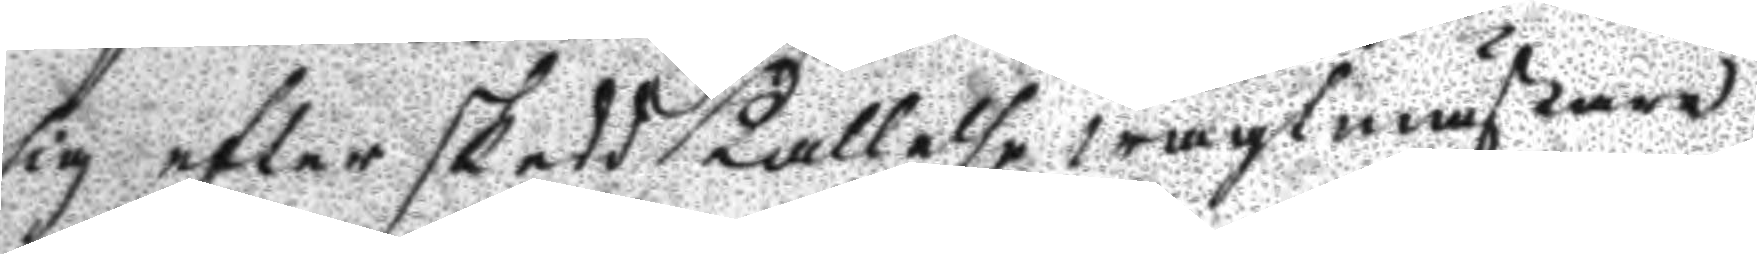sig efter skedd Kallelse wagtmästare
